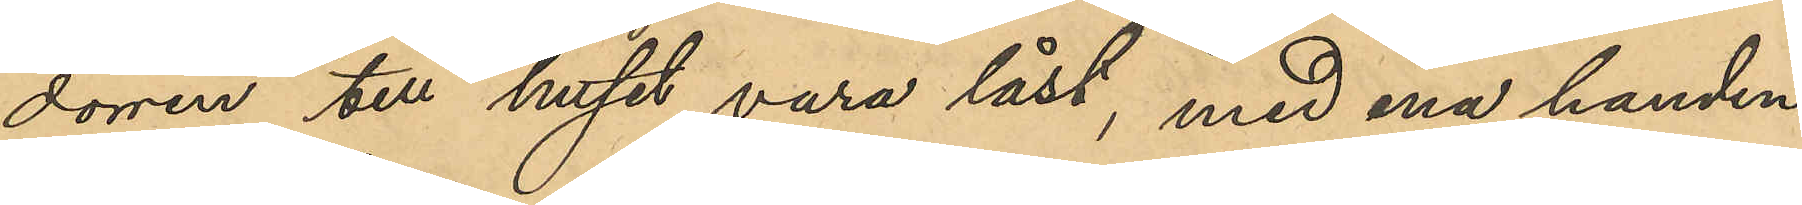dörren till huset vara låst, med ena handen
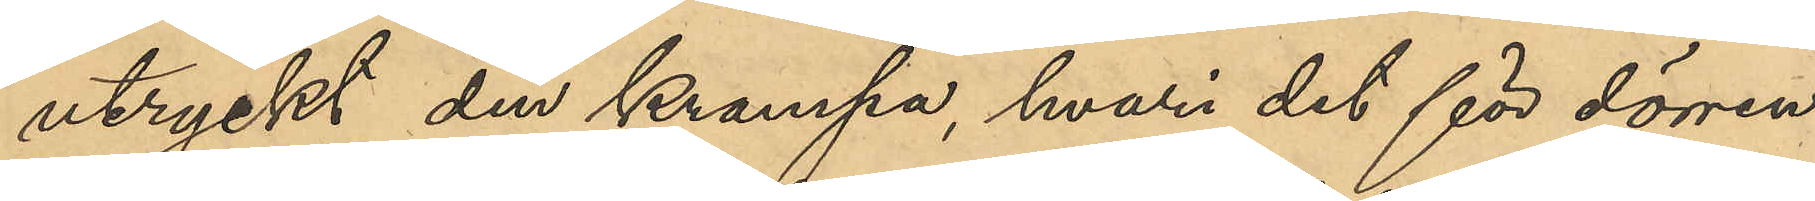uttryckt den krampa, hvari det för dörren
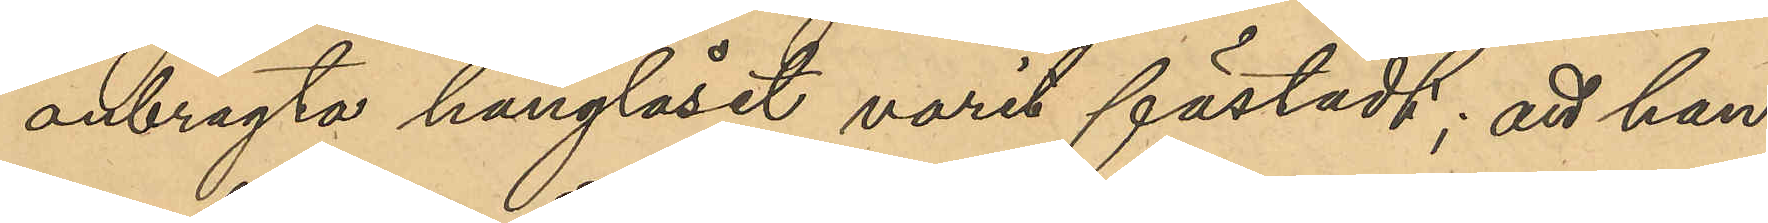anbragta hänglåset varit fästadt; att han
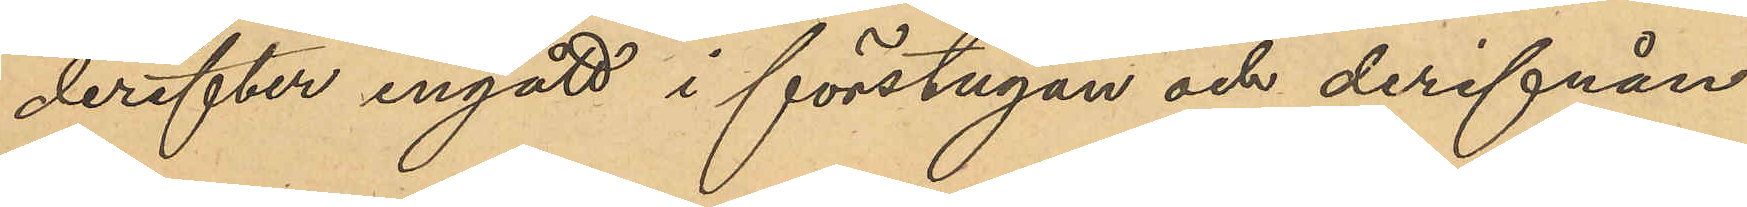derefter ingått i förstugan och derifrån
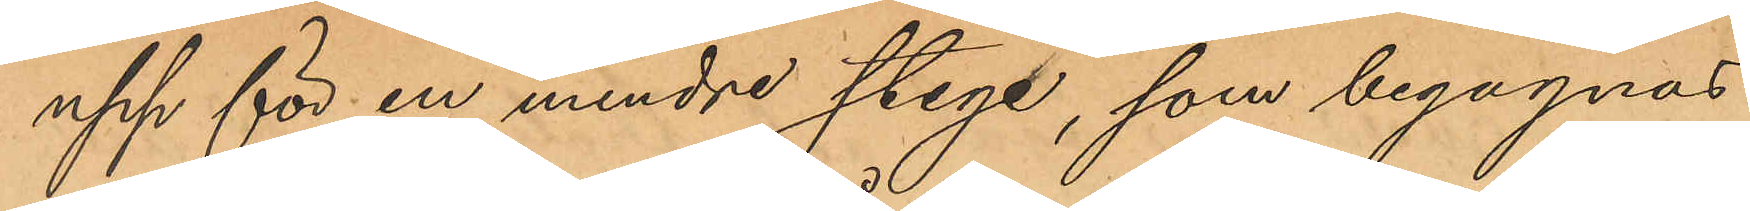upp för en mindre stege, som begagnas
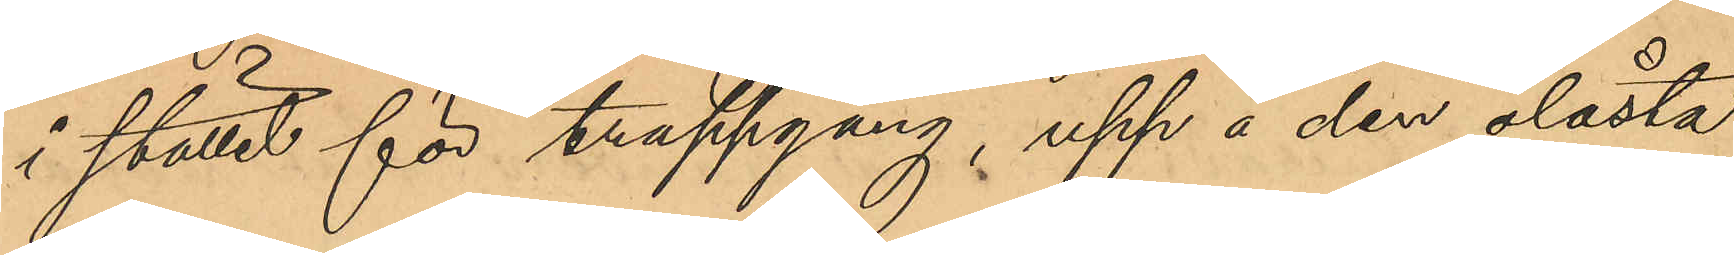i stället för trappgång, upp å den olåsta
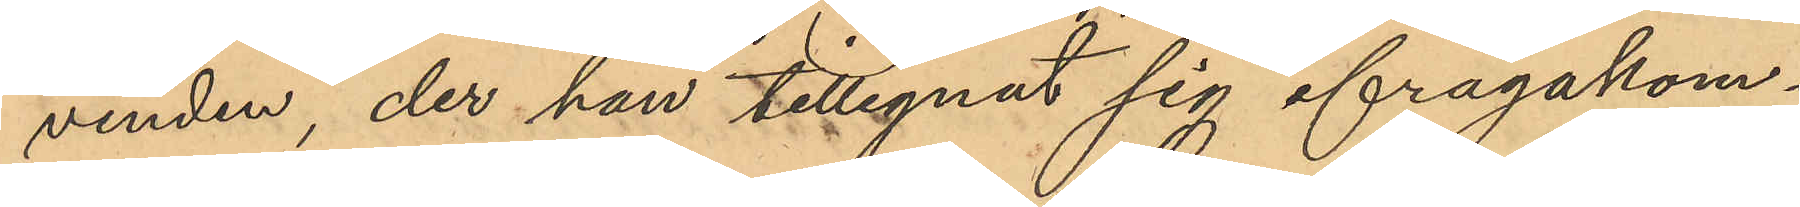vinden, der han tillegnat sig ifrågakom¬
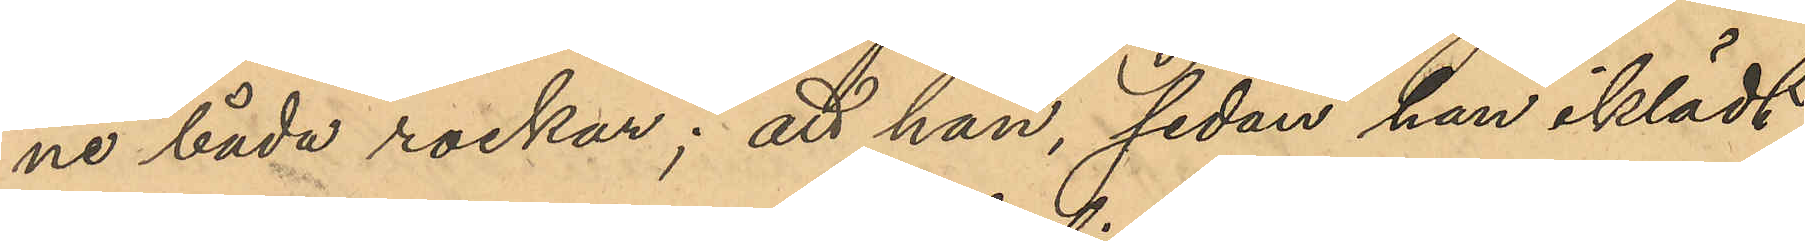ne båda rockar; att han, sedan han iklädt
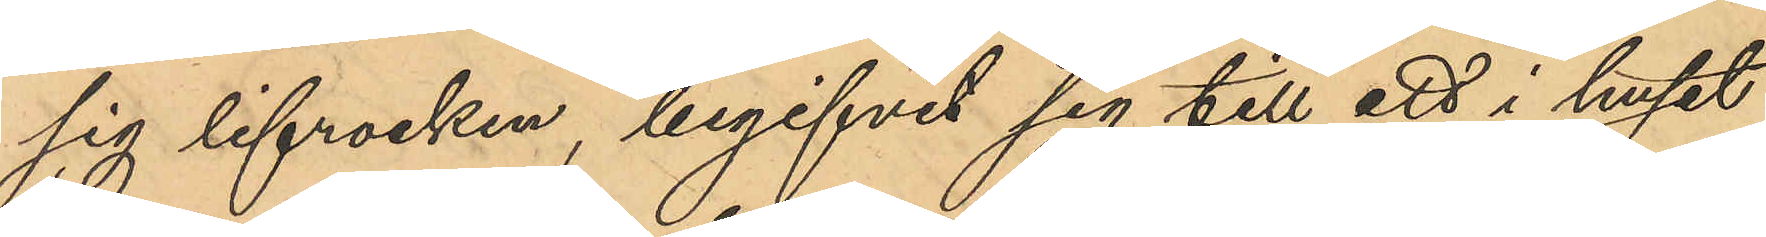sig lifrocken, begifvit sig till ett i huset
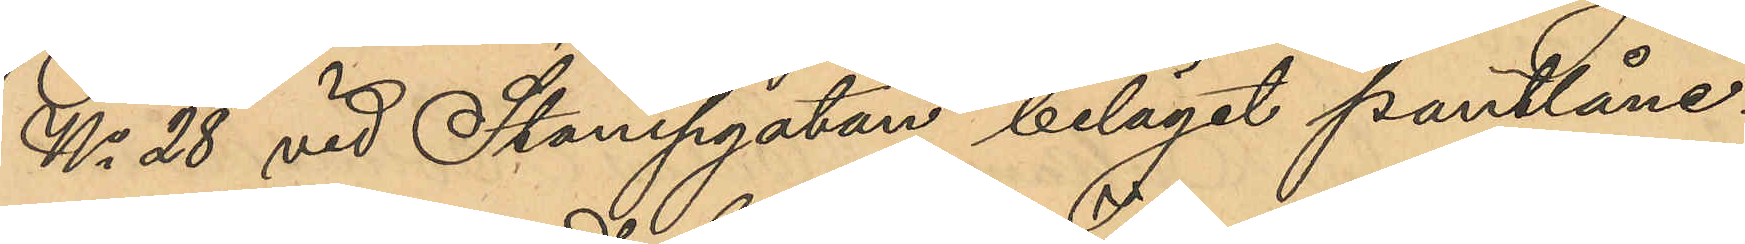No 28 vid Stampgatan beläget pantlåne¬
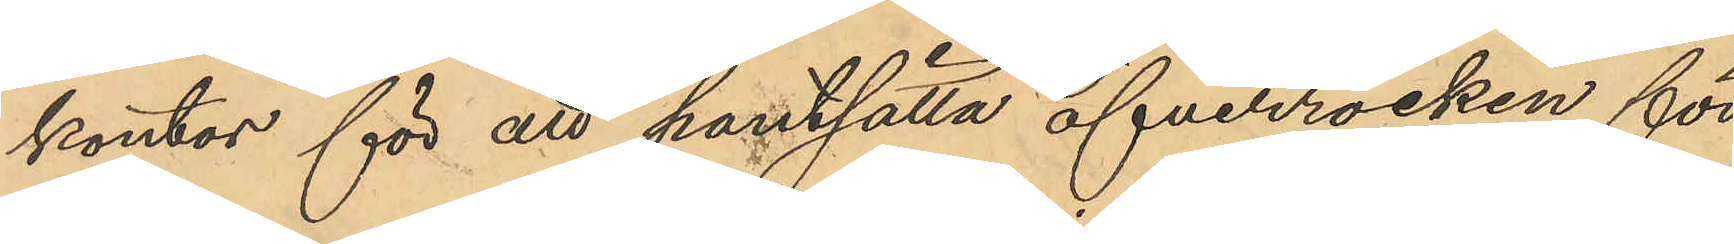kontor för att pantsätta öfverrocken för
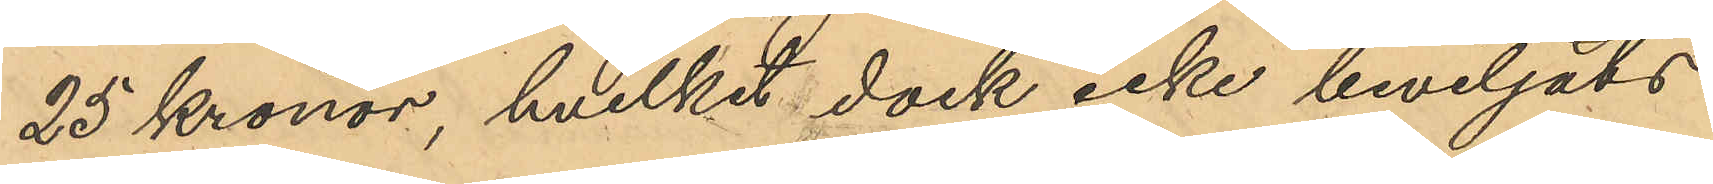25 Kronor, hvilket dock icke beviljats
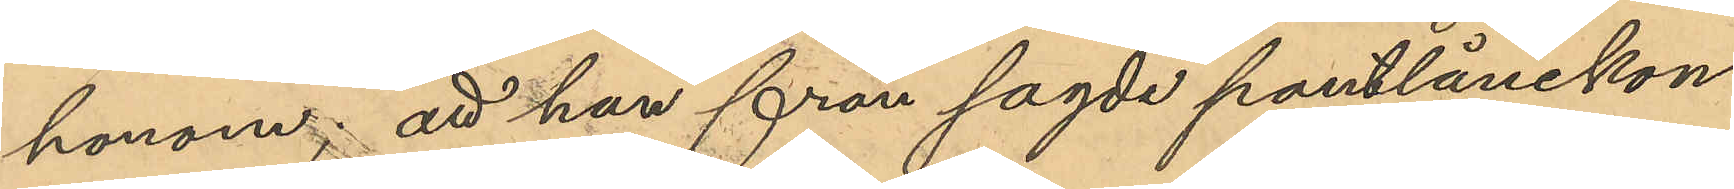honom; att han från sagde pantlånekon¬
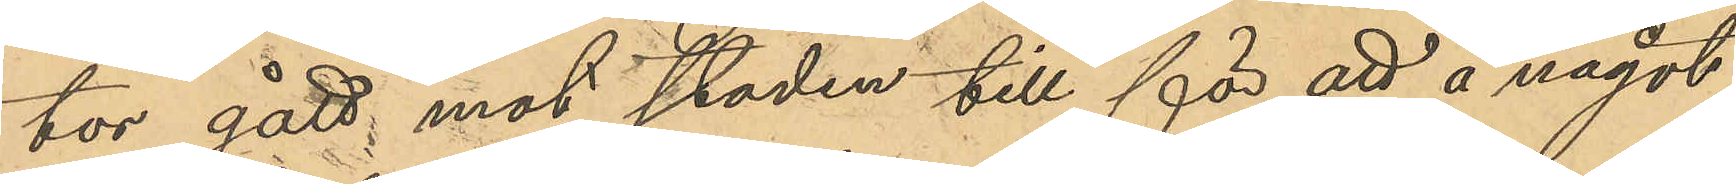tor gått mot staden till för att å något
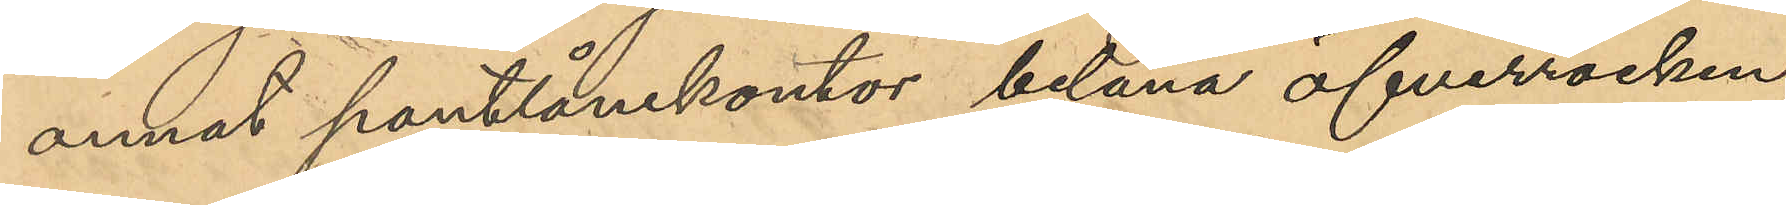annat pantlånekontor belåna öfverrocken,
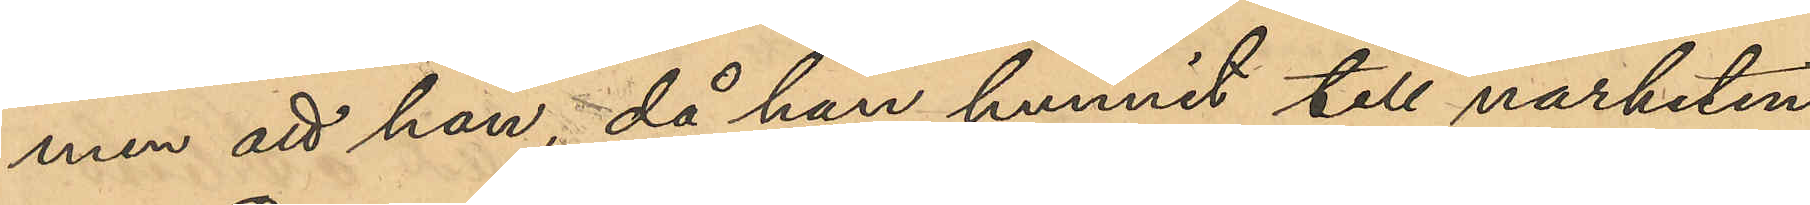men att han, då han hunnit till närheten
